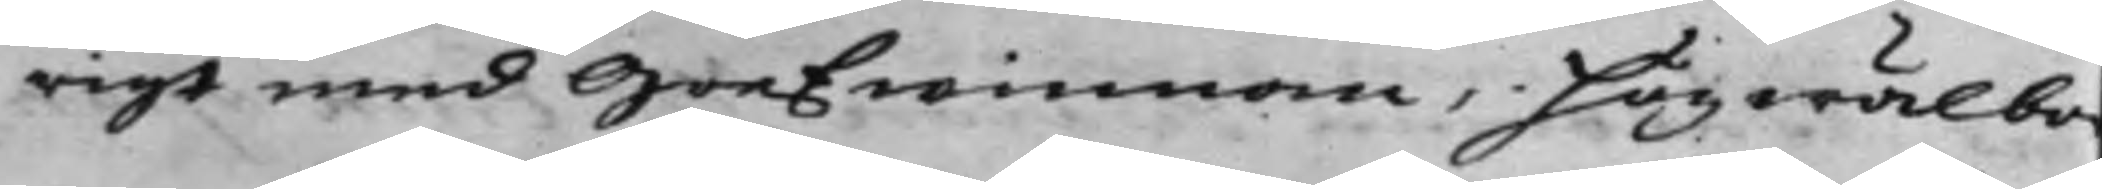rigt med Grefwinnan, högwälbo¬
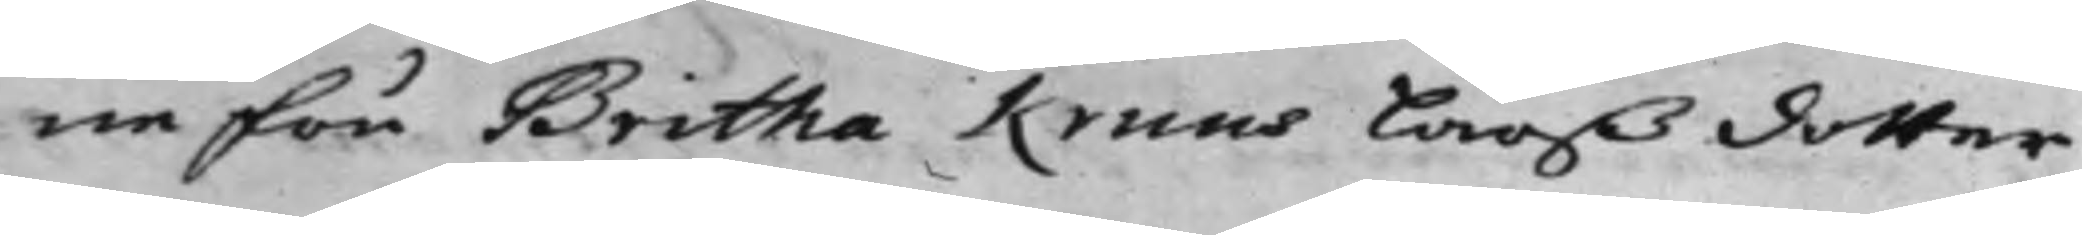ne Fru Britha Kruus Larßdotter
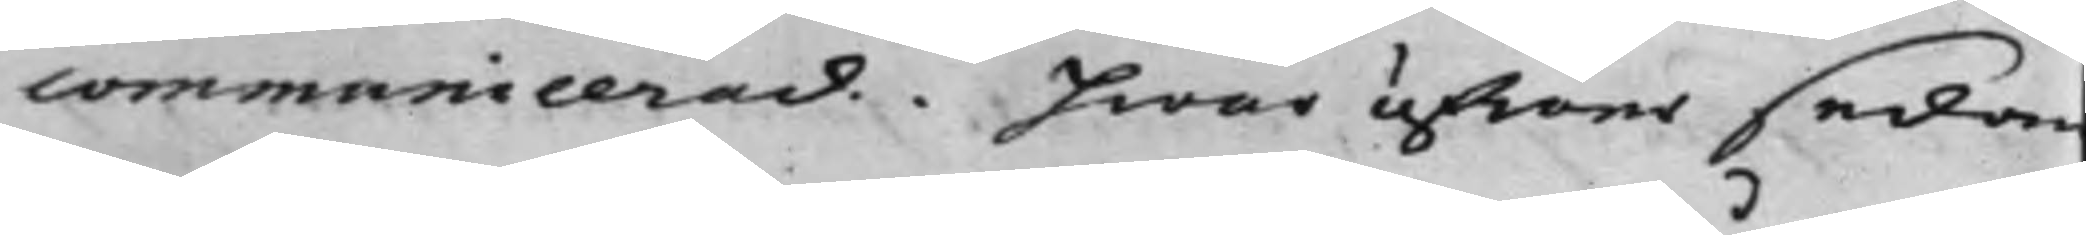communicerad. Hwar öfwer sedan
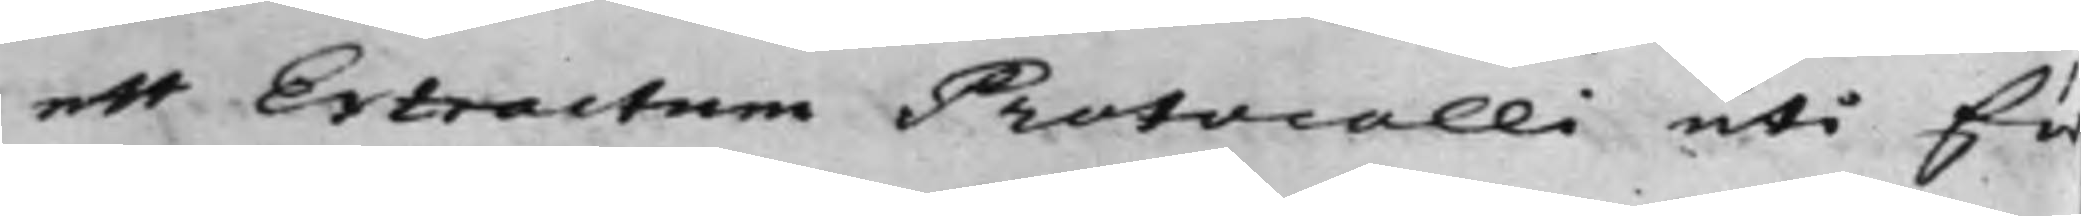ett Extractum Protocolli uti för
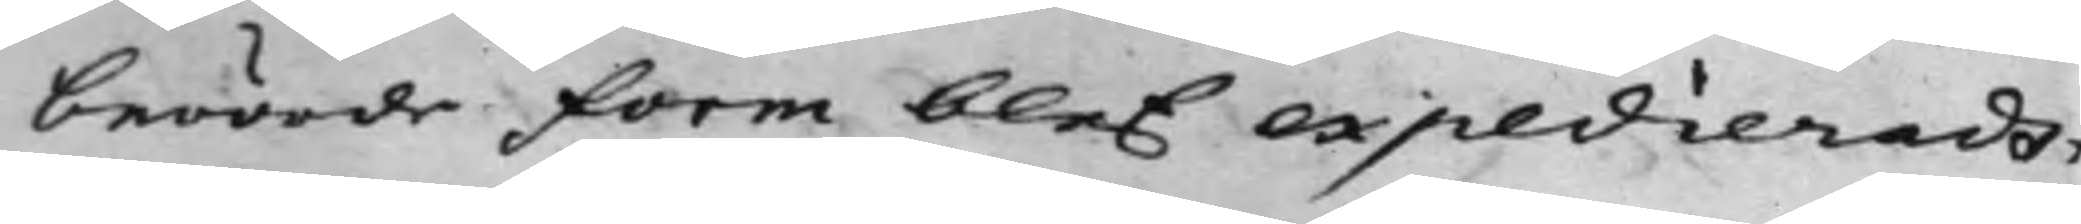berörde Form blef expedieradt.
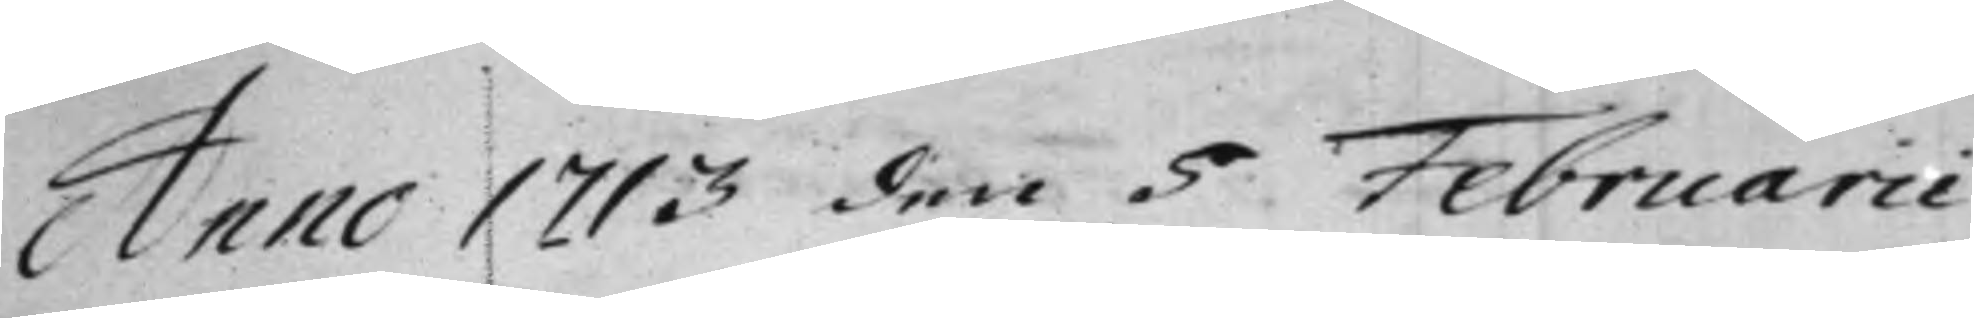Anno 1713 den 5 Februarii
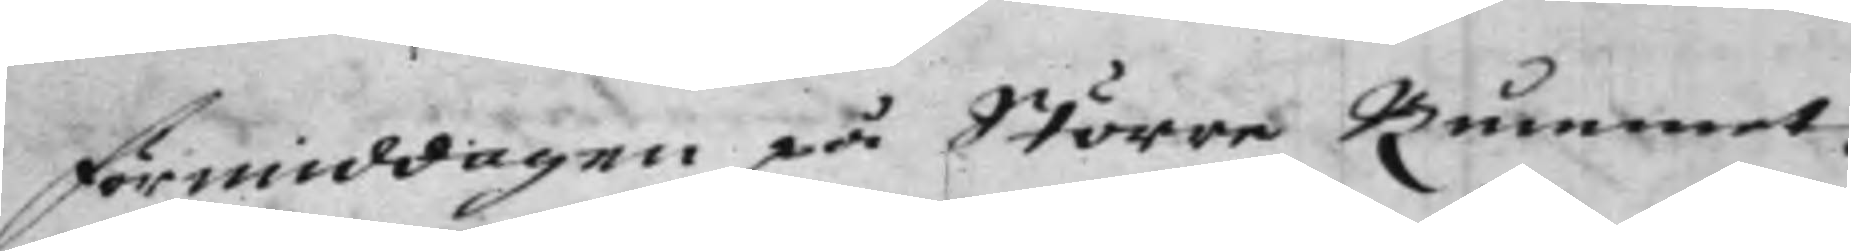förmiddagen på Större Rummet.
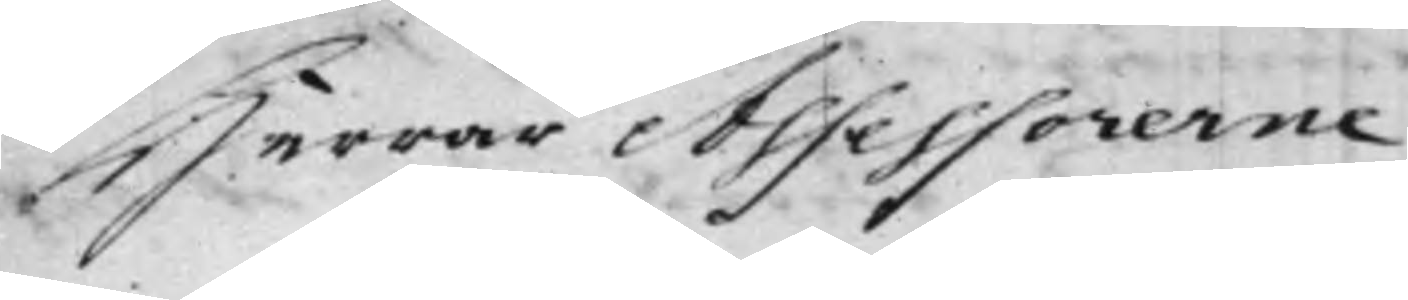Herrar Assessorerne
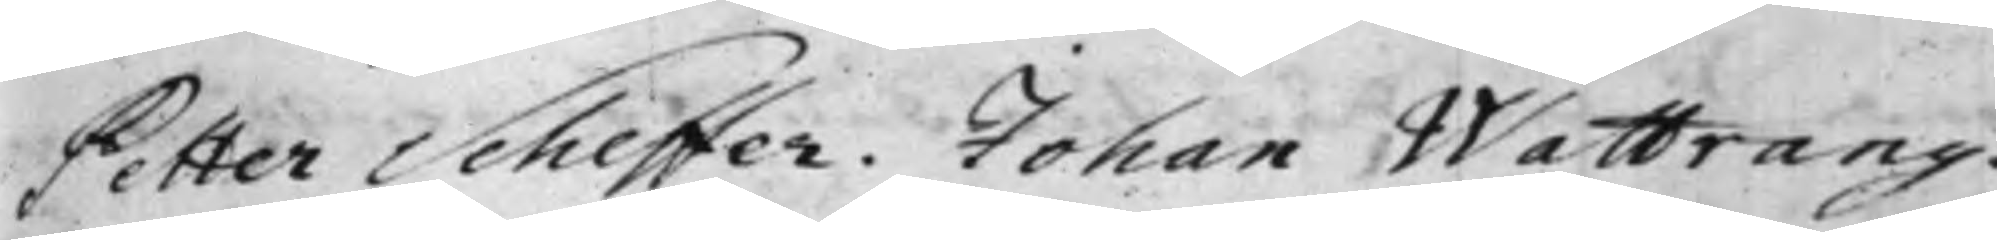Petter Scheffer. Johan Wattrang.
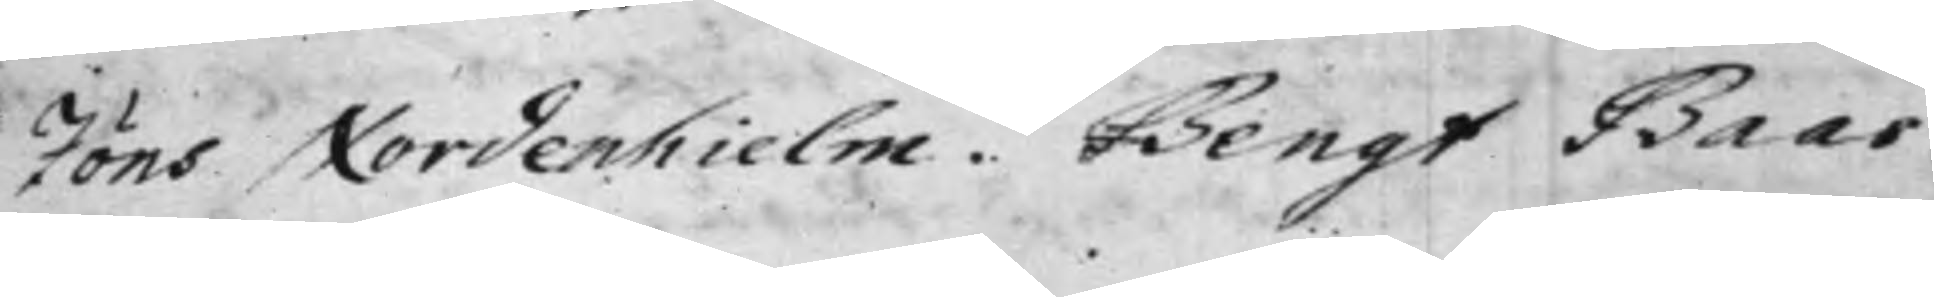Jöns Nordenhielm. Bengt Baas.
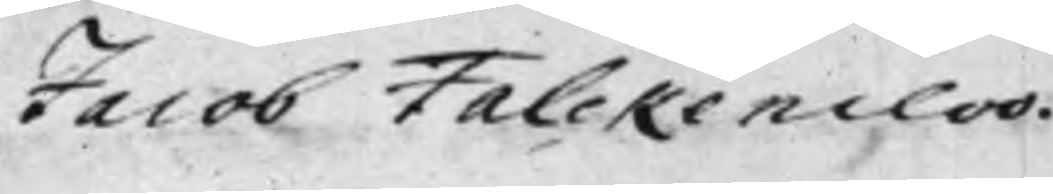Jacob Falckencloo.
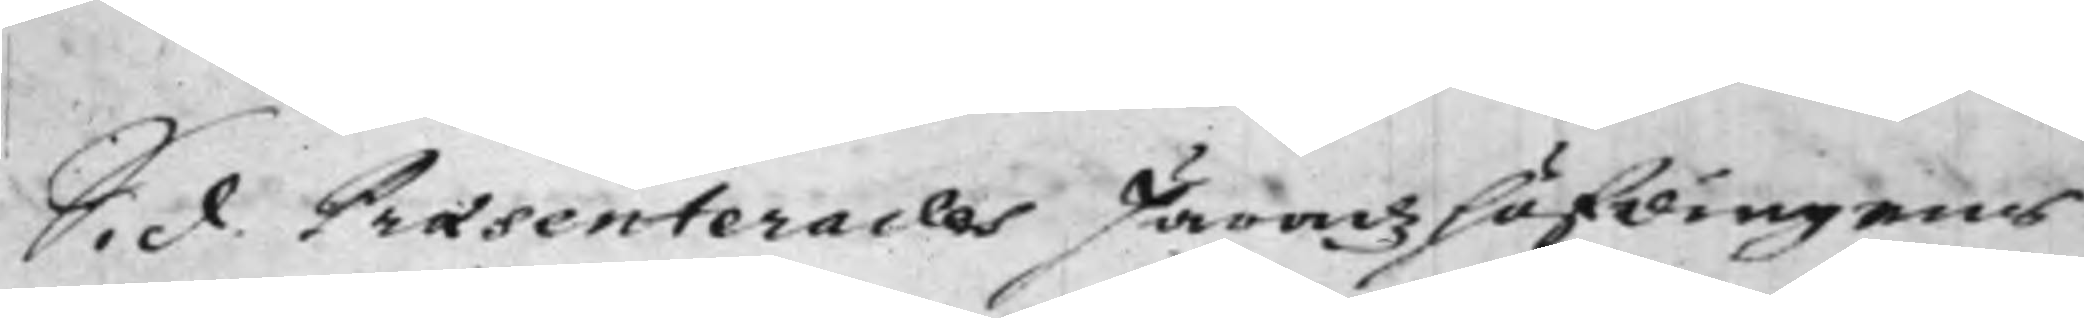S. d. Praesenterades Häradz höfdingens
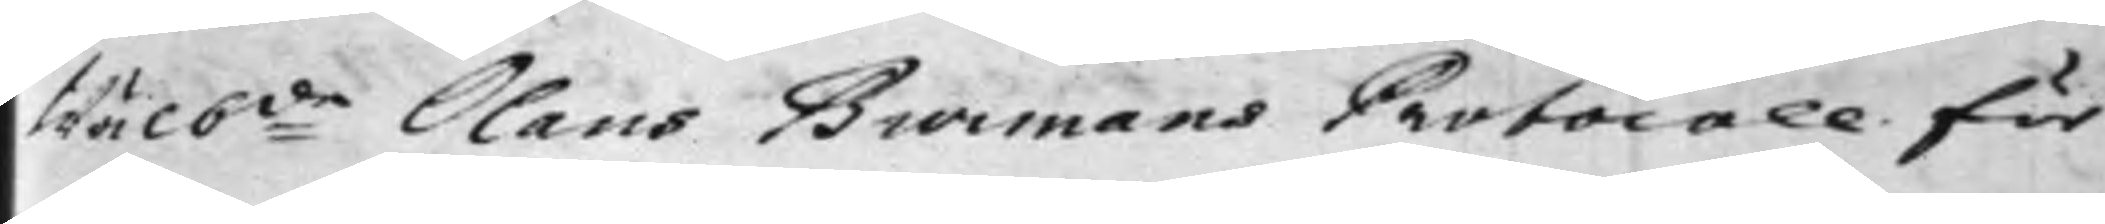Wälb:de Olaus Burmans Protocoll för
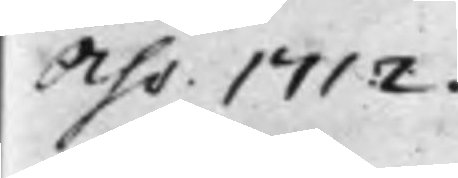Åhr 1712.
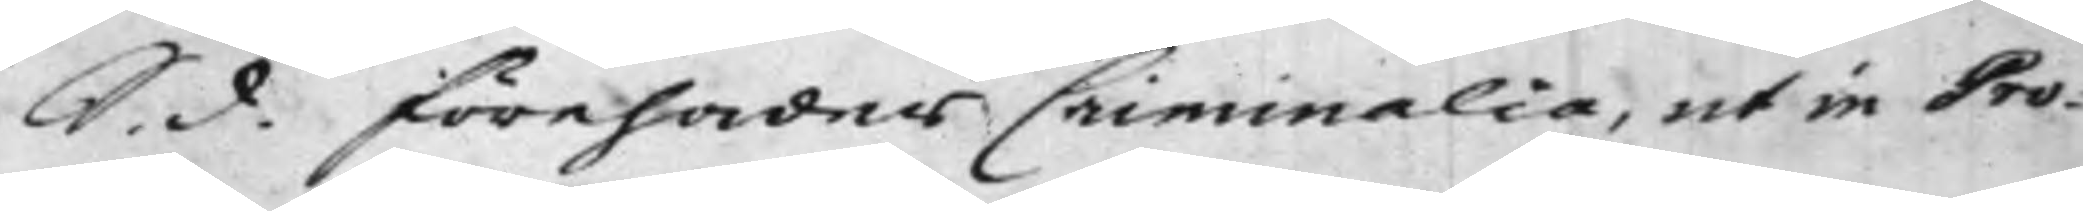S. d. förehades Criminalia, ut in Pro¬
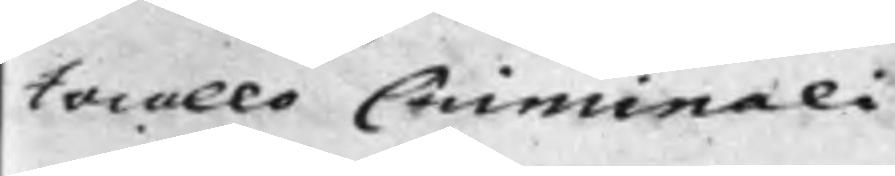tocollo Criminali.
